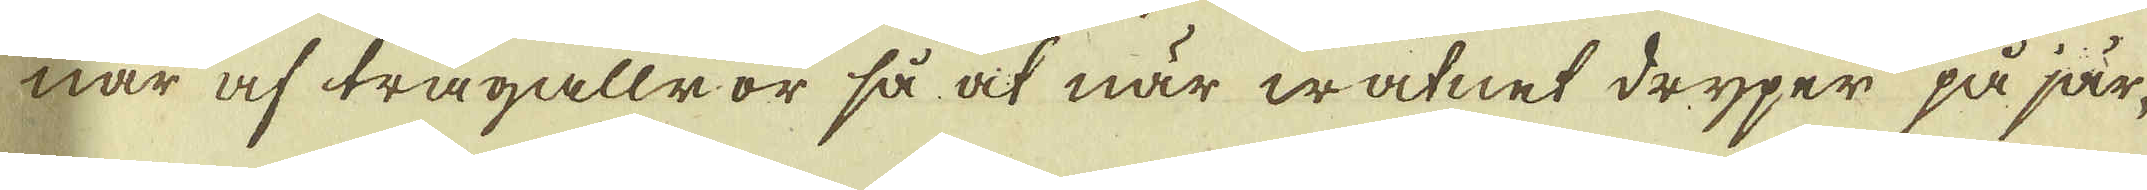nar af trägallror så at när watnet dryper på jär-
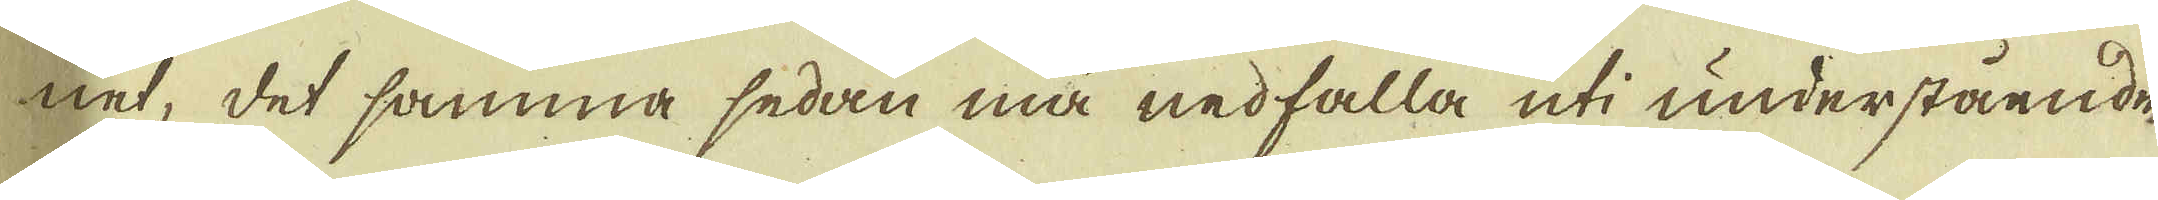net, det samma sedan må nedfalla uti understående
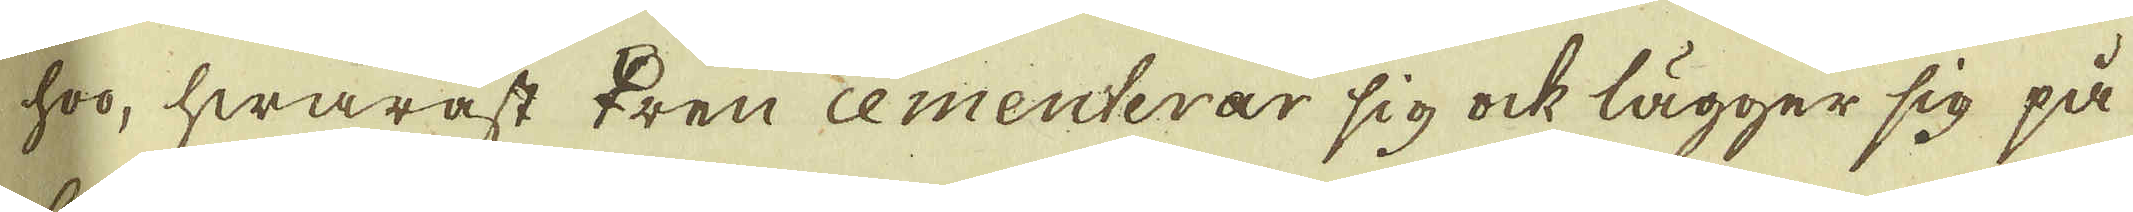hoo, hwaräst ♀ren cementerar sig ock lägger sig på
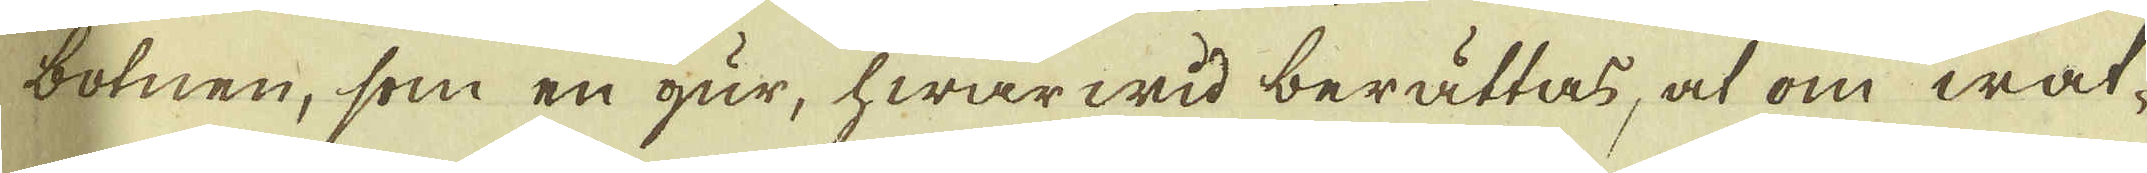botnen, som en gur, hwarwid berättas, at om wat-
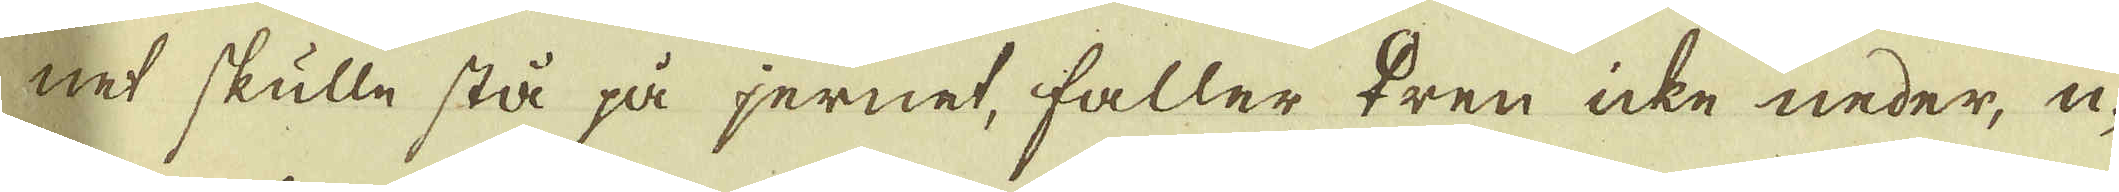net skulle stå på jernet, faller ♀ren icke neder, u-
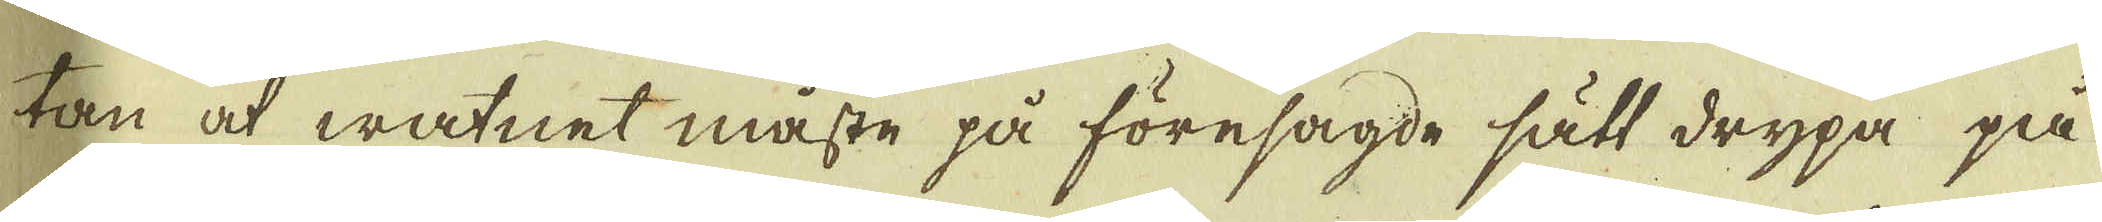tan at watnet måste på föresagde sätt drypa på
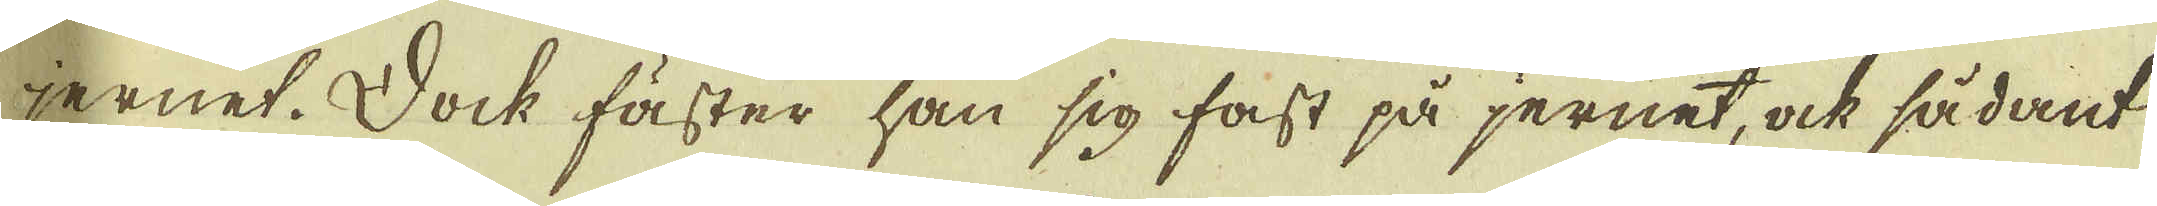jernet. Dock fäster han sig fast på jernet, ock sådant
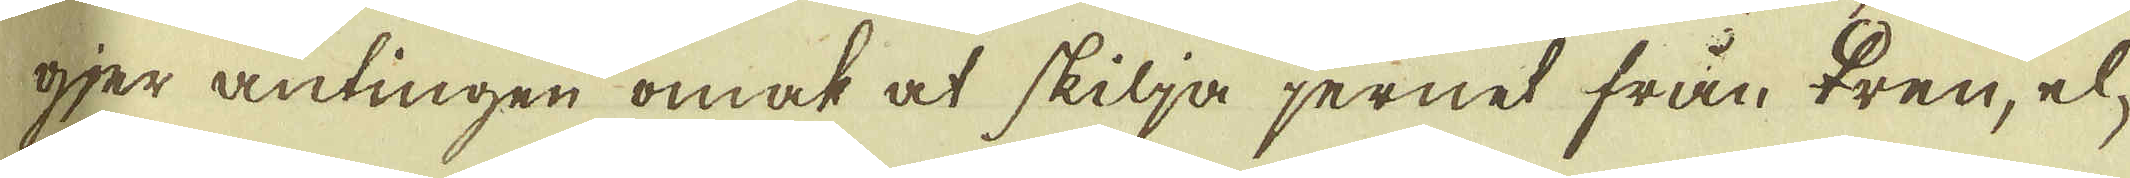gjer antingen omat at skilja jernet från ♀ren, el-
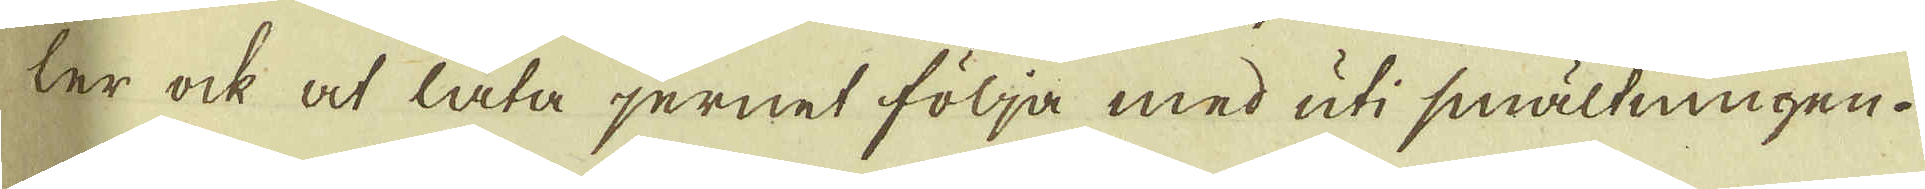ler ock at låta jernet följa med uti smältningen.
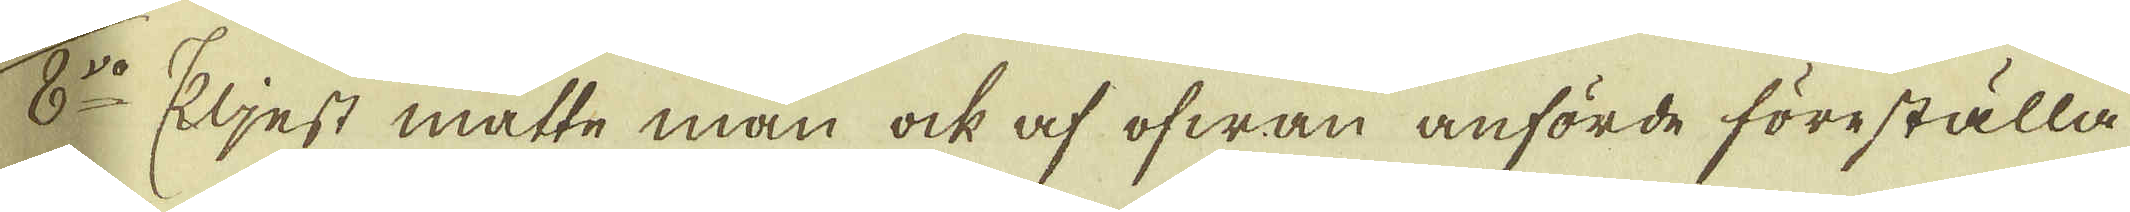8:vo Eljest måtte man ock af ofwan anförde föreställa
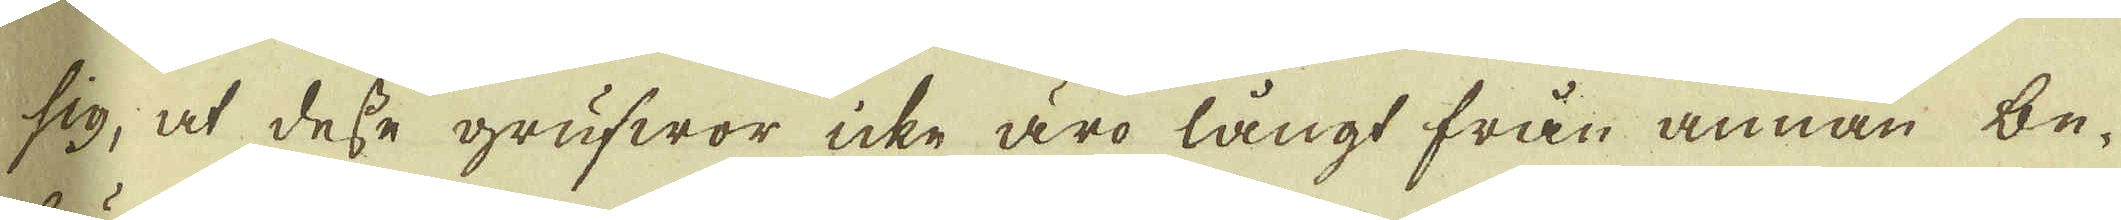sig, at desse grufwor icke äro långt från annan be-
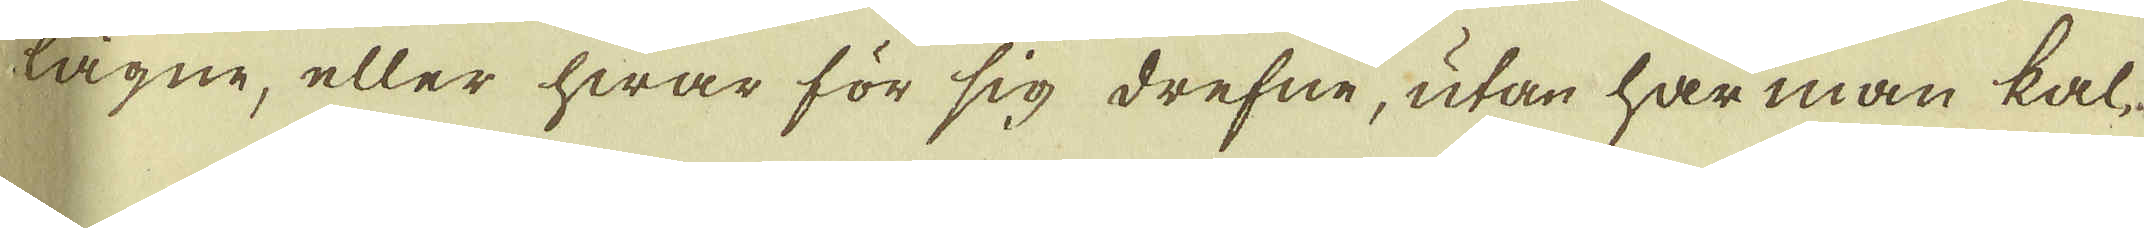lägne, eller hwar för sig drefne, utan har man kal-
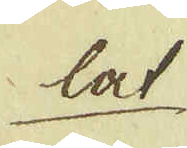lat
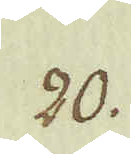20.
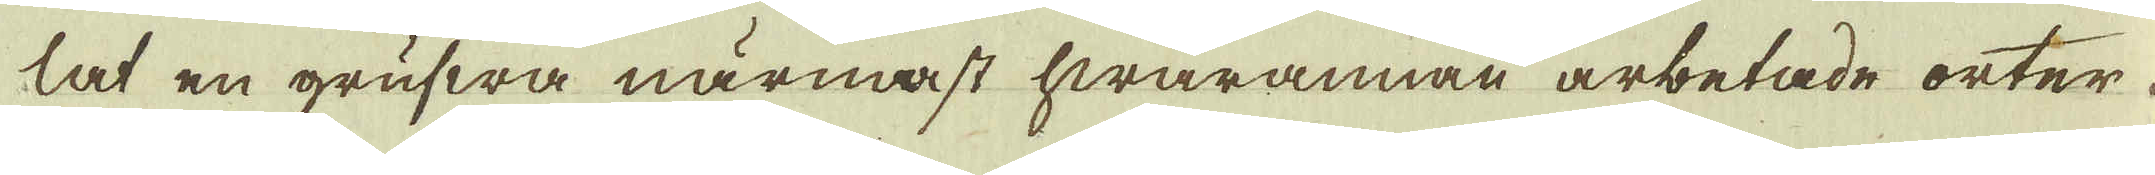lat en grufwa närmast hwarannan arbetade orter
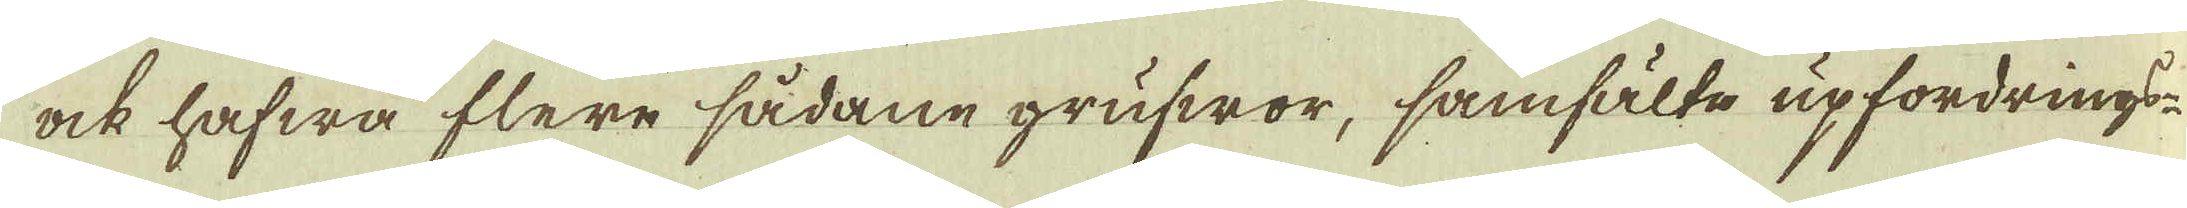ock hafwa flere sådane grufwor, samfälte upfordrings-
